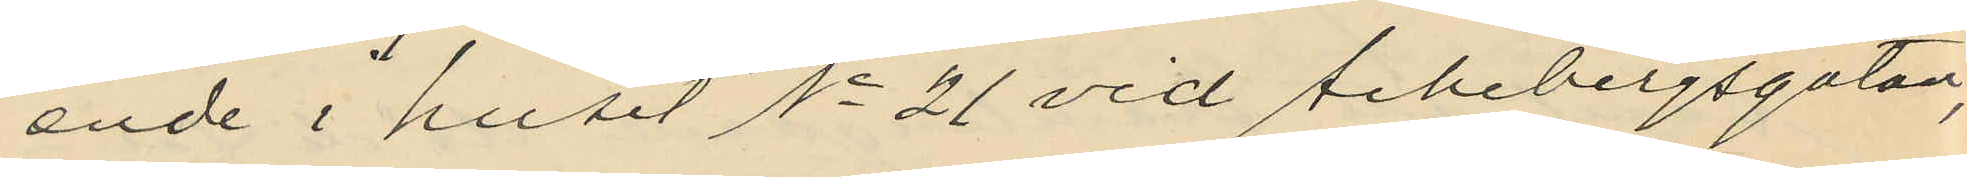ende i huset No 21 vid Aschebergsgatan,
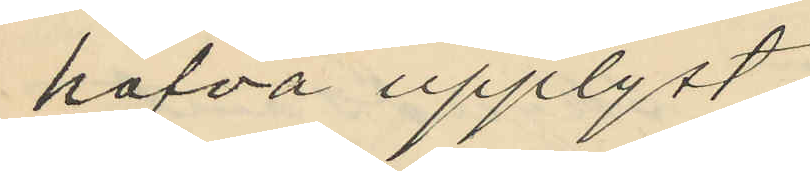hafva upplyst:
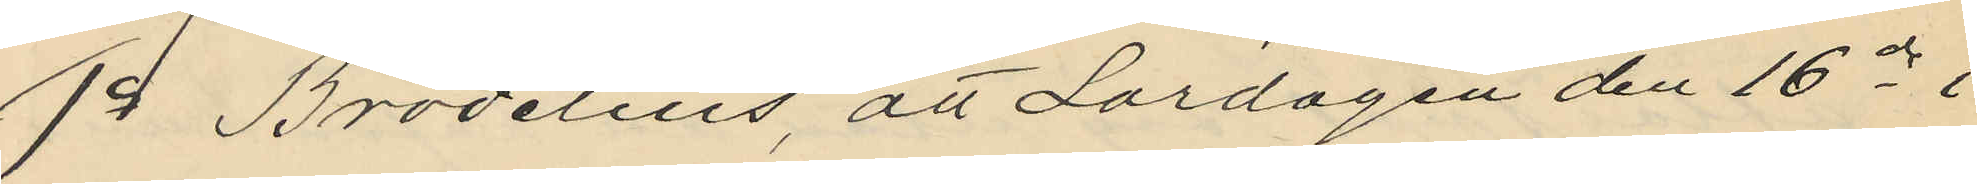1o Brodelius, att Lördagen den 16 ds i
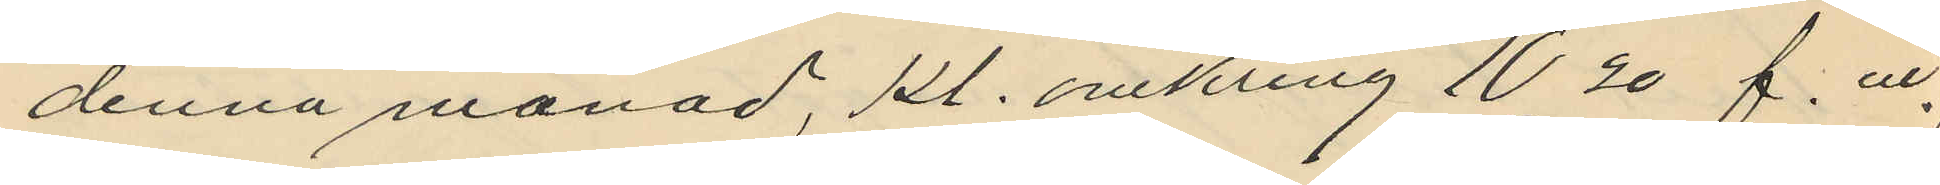denna månad, kl. omkring 10,20 f. m.
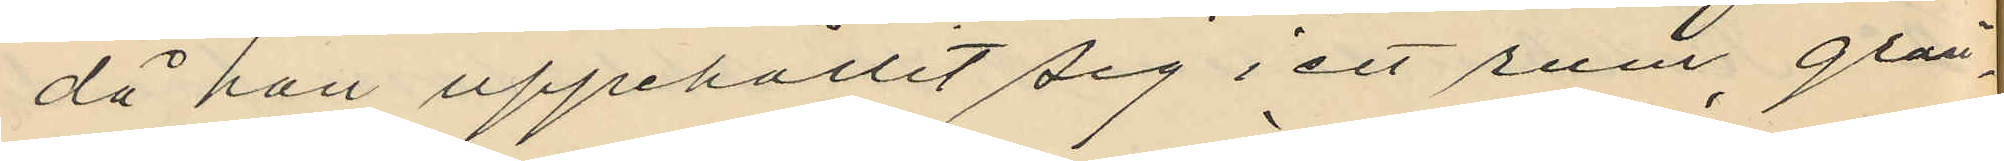då hon uppehållit sig i ett rum, grän¬
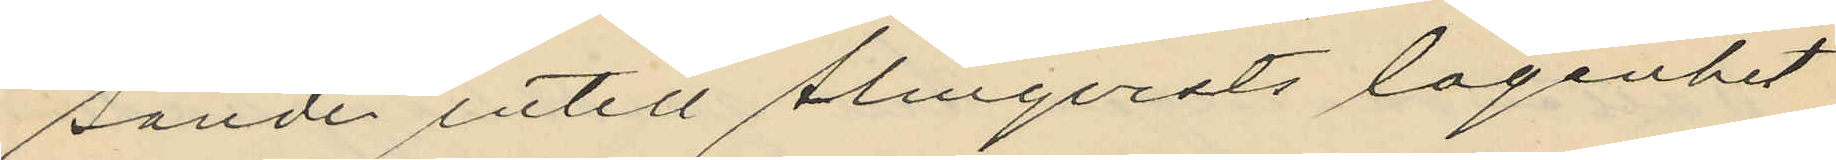sande intill Almqvists lägenhet
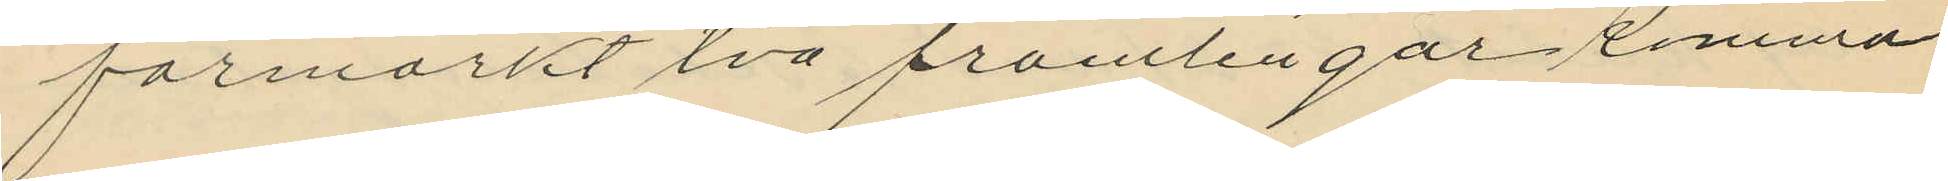förmärkt två främlingar komma
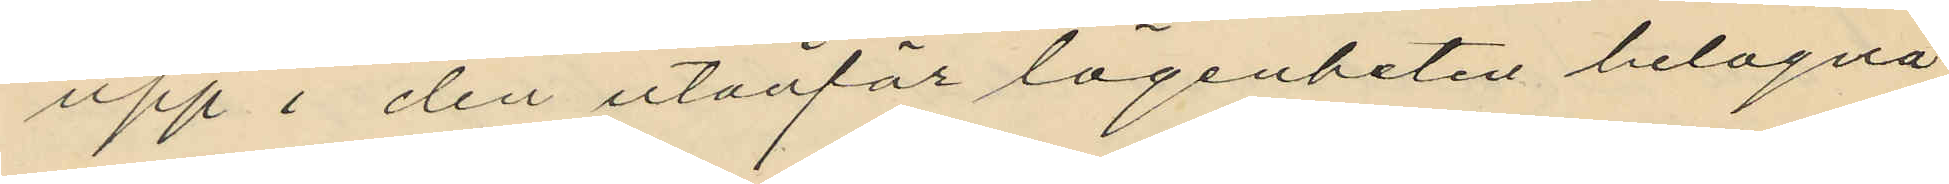upp i den utanför lägenheten belägna
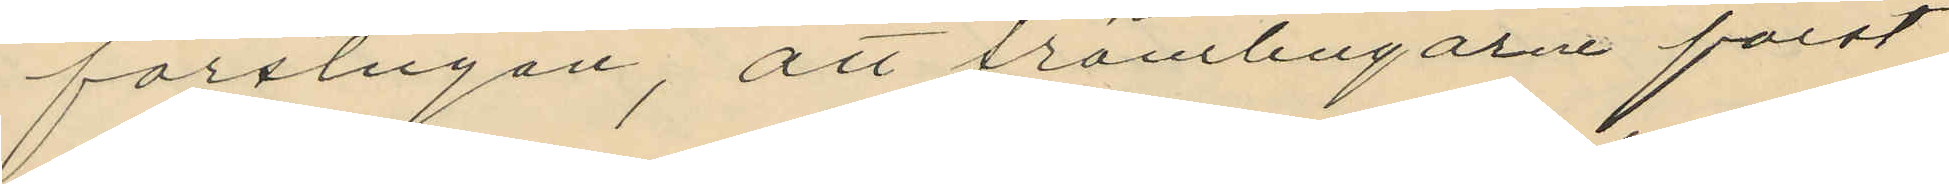förstugan, att främlingarne först
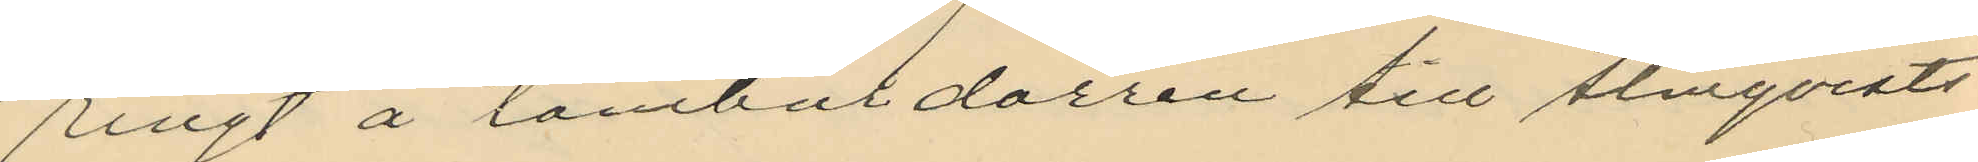ringt å tamburdörren till Almqvists
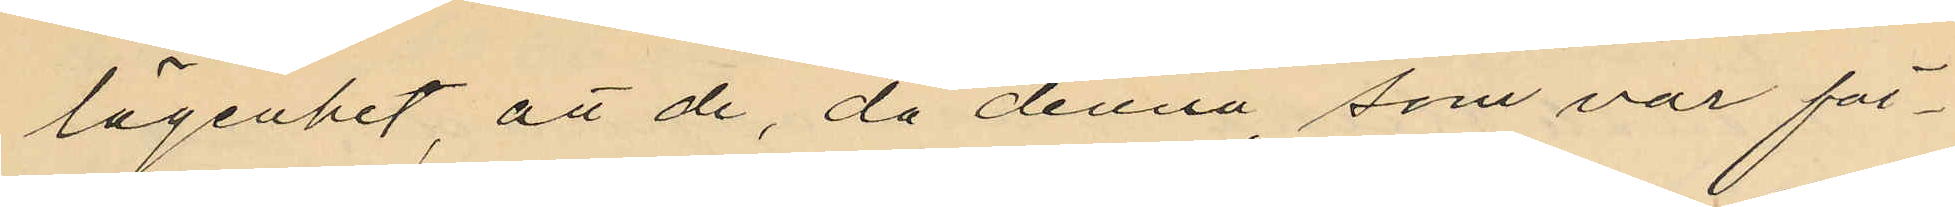lägenhet, att de, då denna, som var för¬
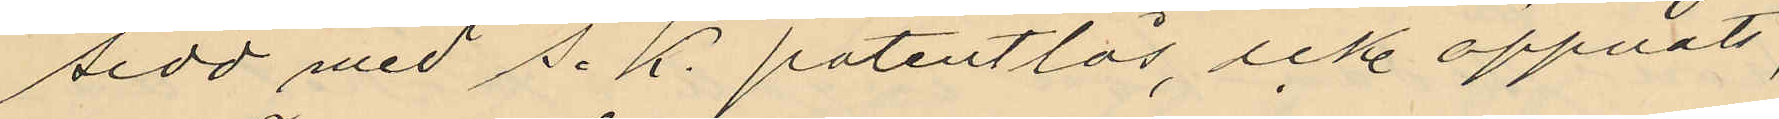sedd med s. k. patentlås, icke öppnats,
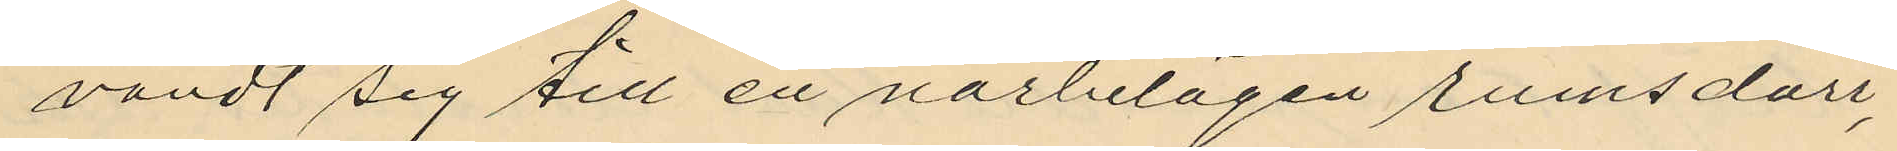vändt sig till en närbelägen rumsdörr,
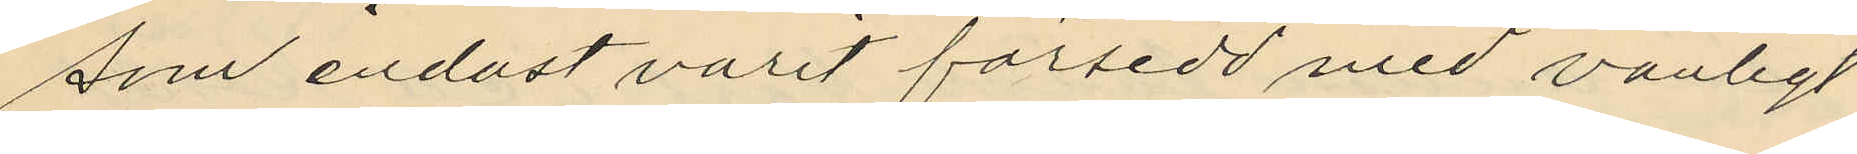som endast varit försedd med vanligt
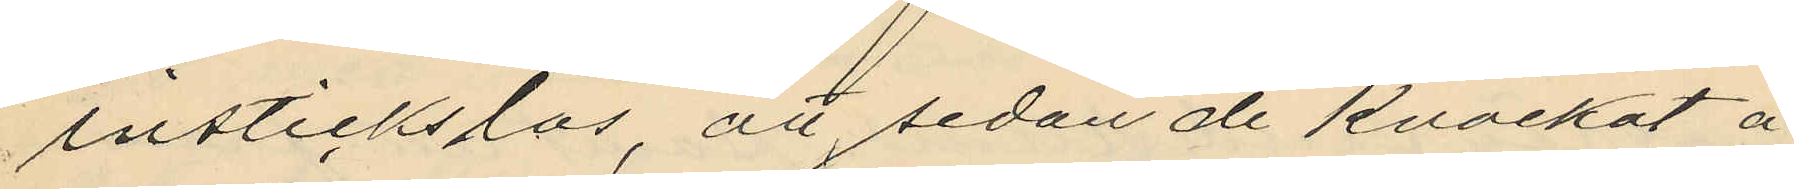instickslås, att sedan de knackat å
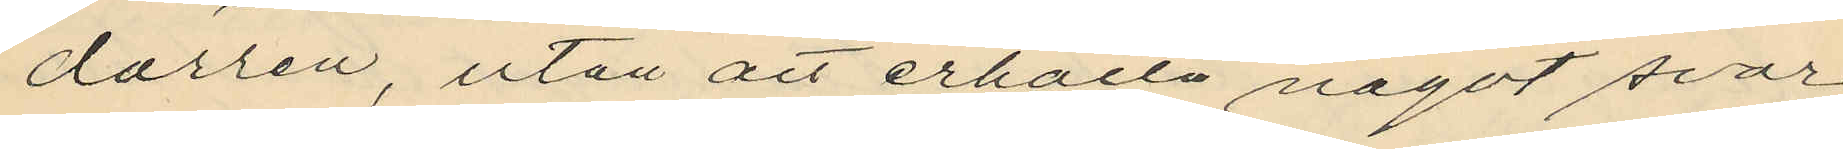dörren, utan att erhålla något svar
